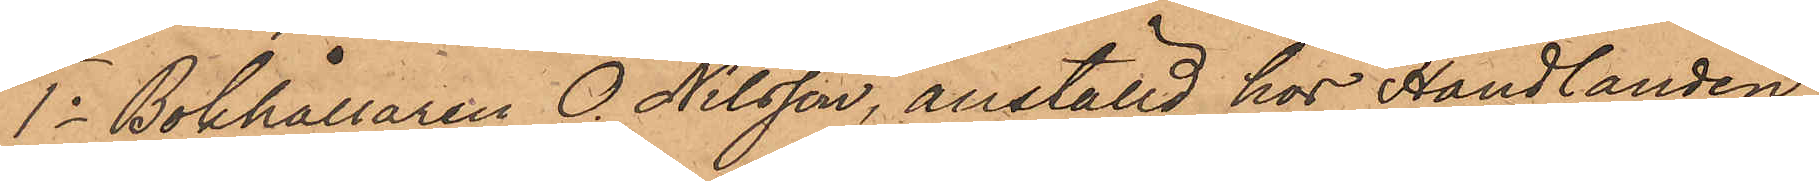1o Bokhållaren O. Nilsson, anställd hos Handlanden
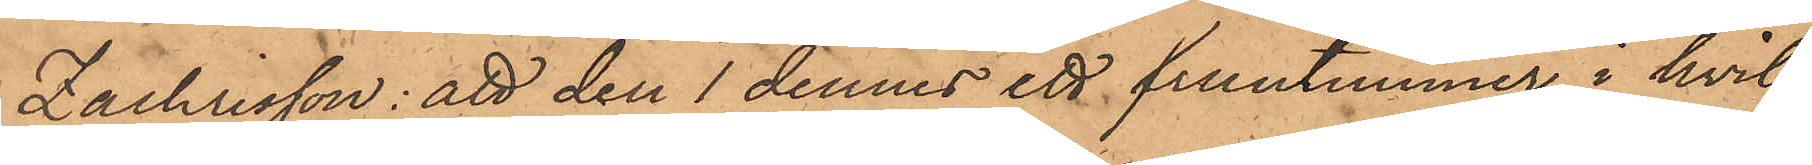Zachrisson: att den 1 dennes ett fruntimmer, i hvil¬
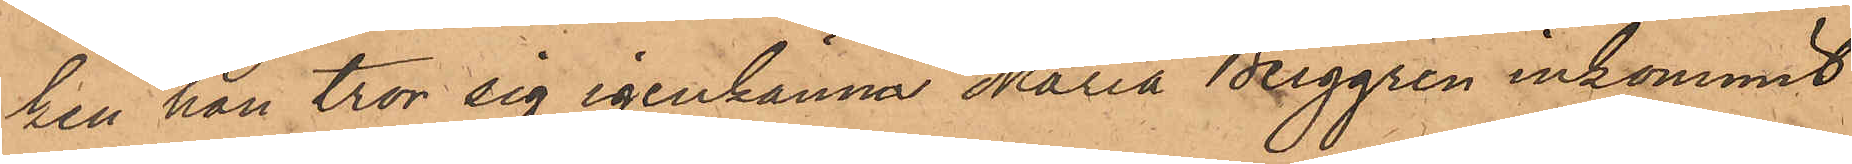ken han tror sig igenkänna Maria Berggren inkommit
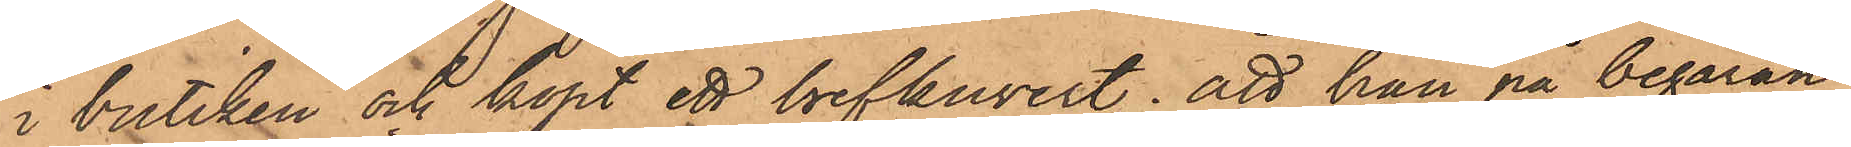i butiken och köpt ett brefkuvert; att han på begäran
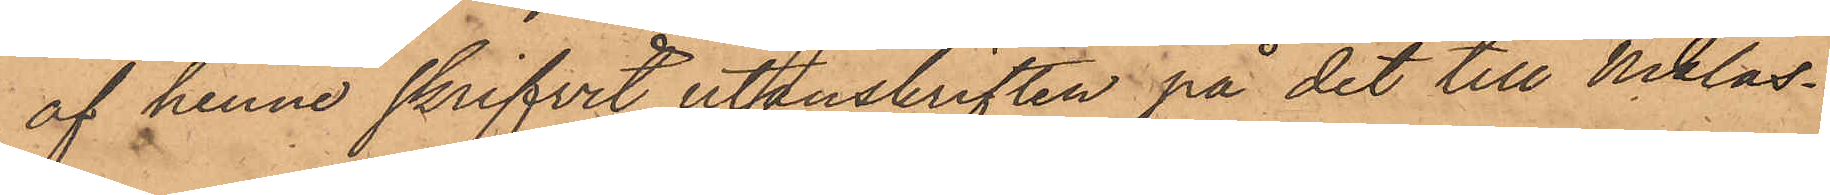af henne skrifvit utanskriften på det till Niklas¬
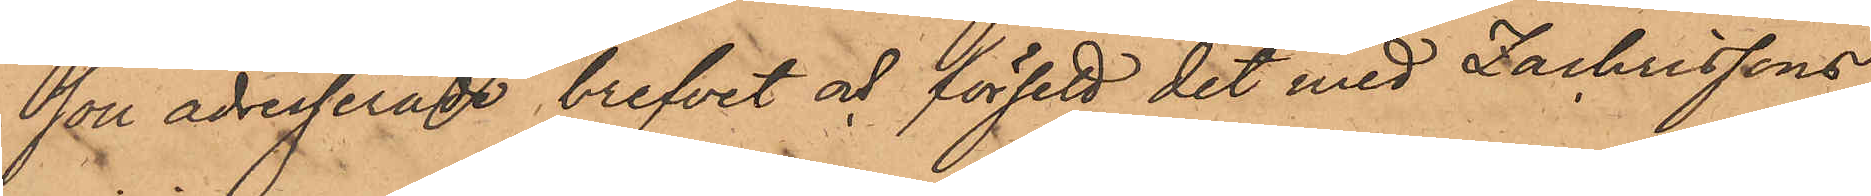son adresserade brefvet och försett det med Zachrissons
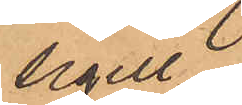sigill.
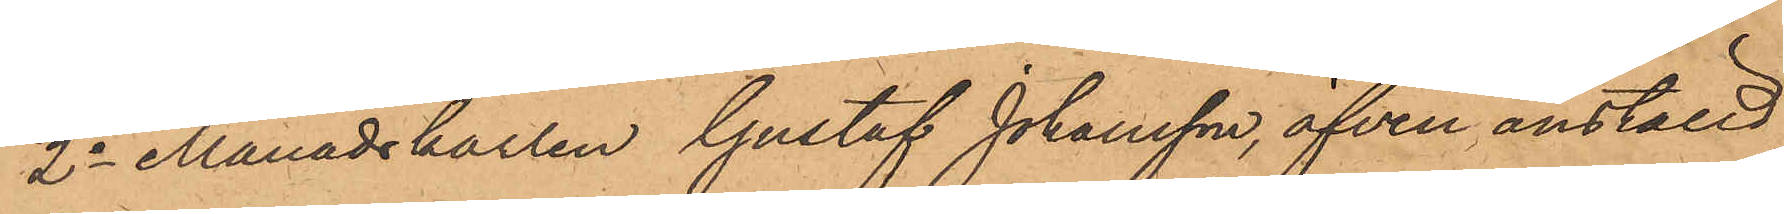2o Månadskarlen Gustaf Johansson, äfven anställd
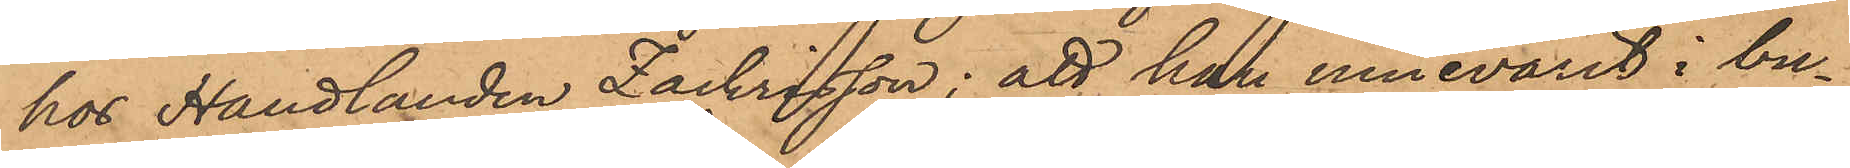hos Handlanden Zachrisson; att han innevarit i bu¬
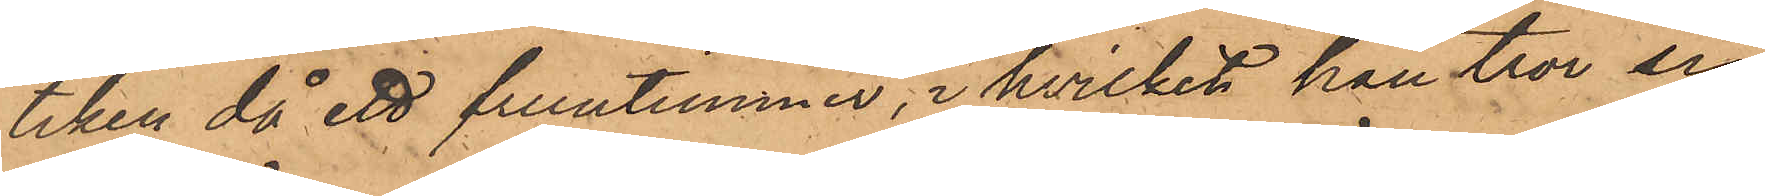tiken, då ett fruntimmer, i hvilket han tror sig
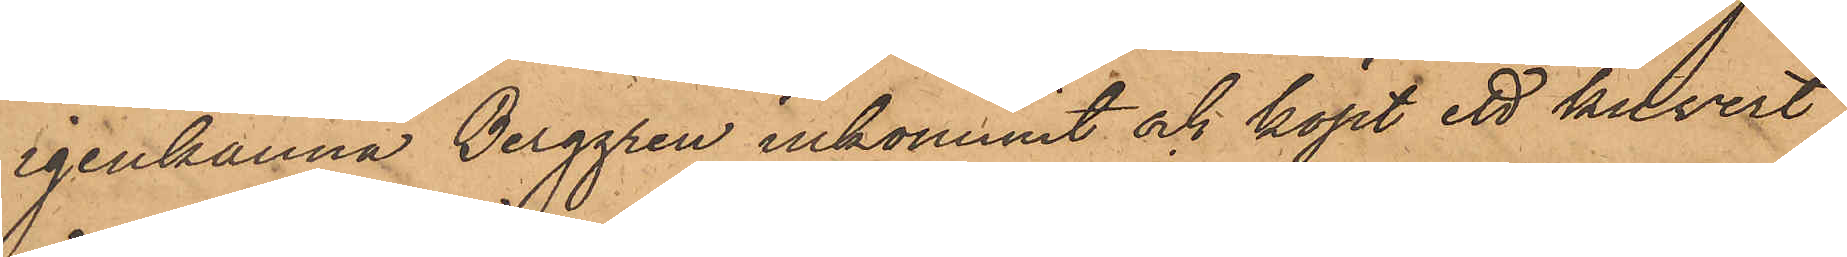igenkänna Berggren inkommit och köpt ett kuvert
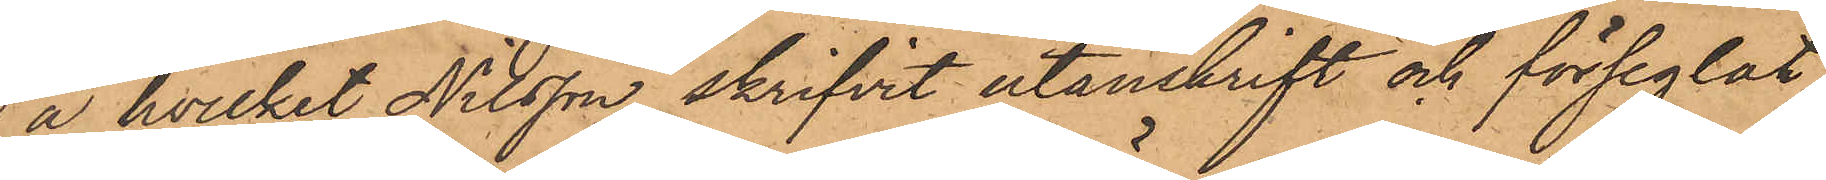å hvilket Nilsson skrifvit utanskrift och förseglat
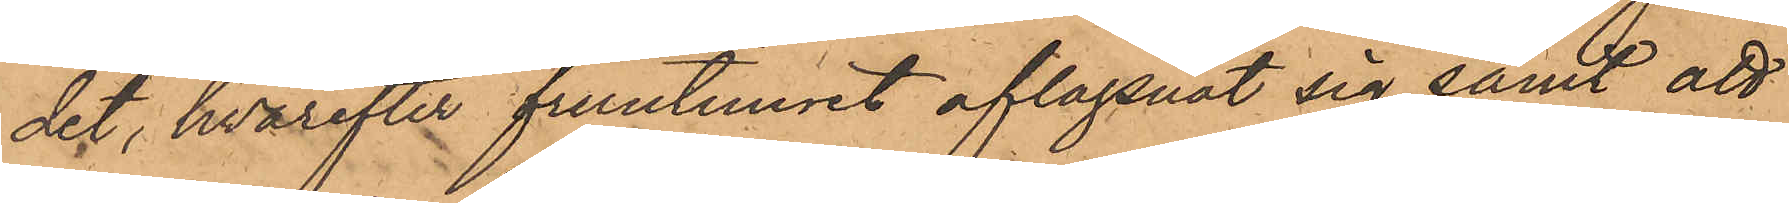det, hvarefter fruntimret aflägsnat sig, samt att
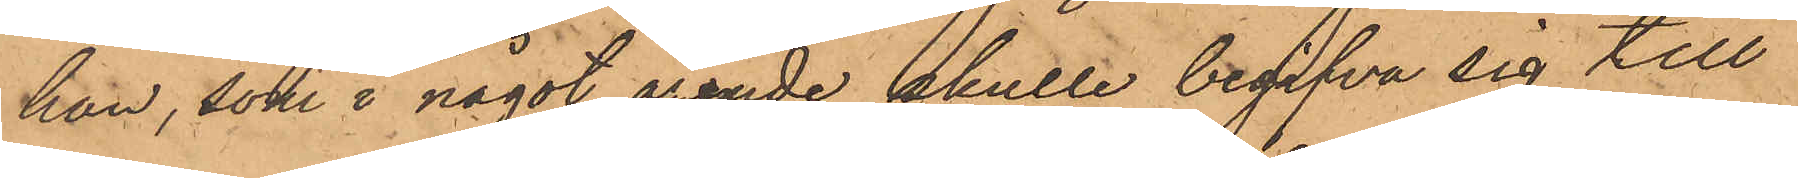han, som i något ärende skulle begifva sig till
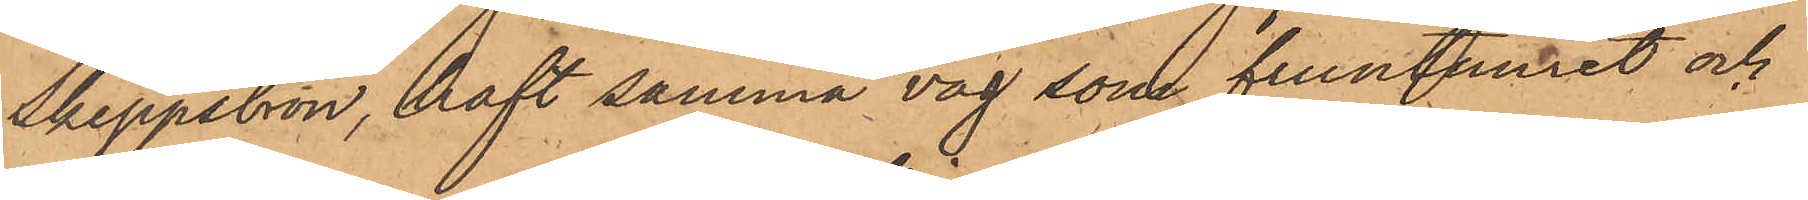Skeppsbron, haft samma väg som fruntimret och
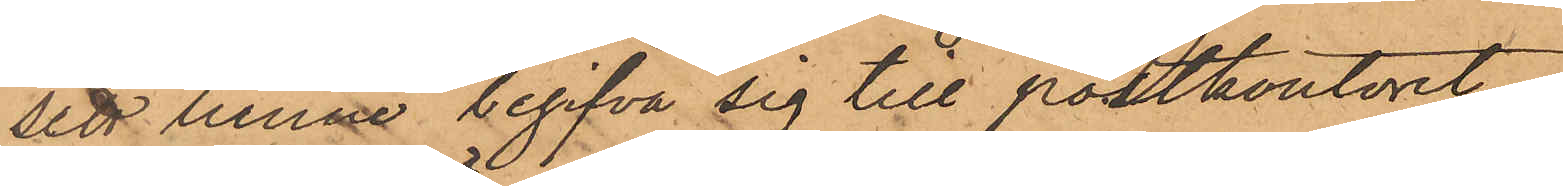sett henne begifva sig till postkontoret.
